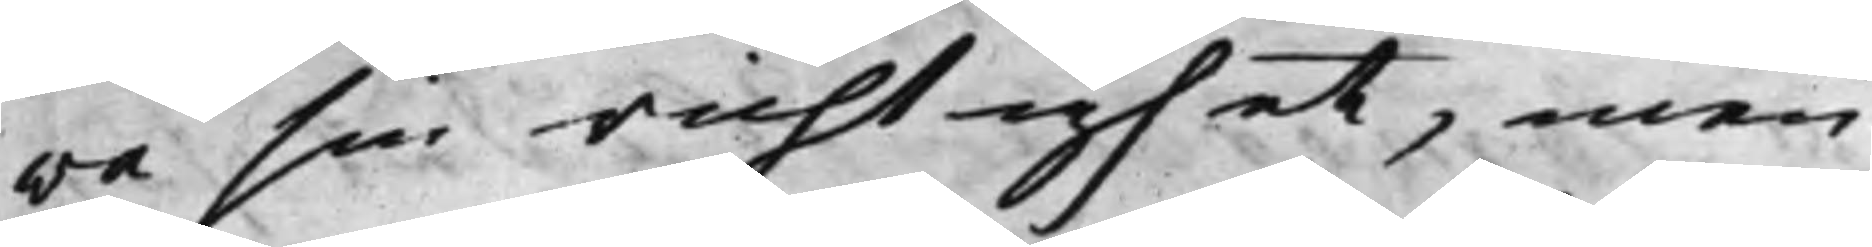wa sin richtighet, men
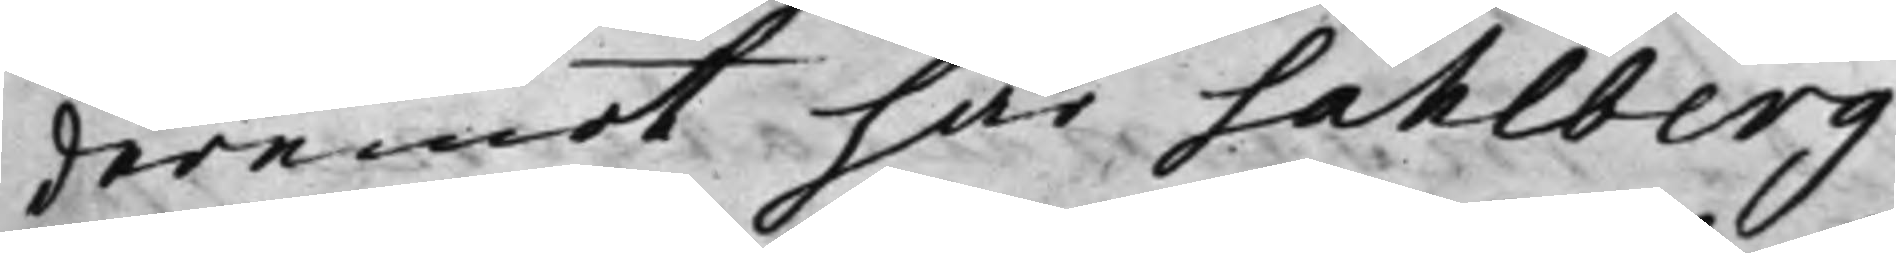deremot har Sahlberg
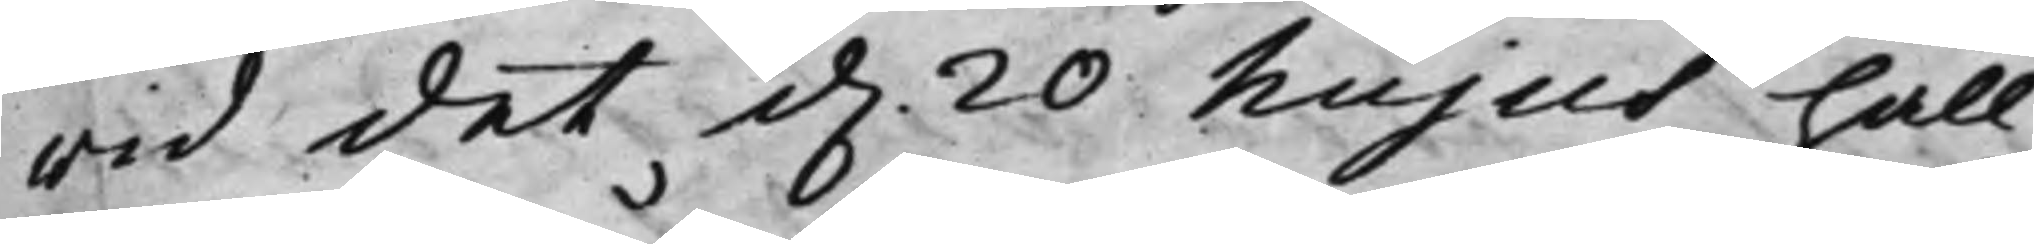wid det d. 20 hujus håll¬
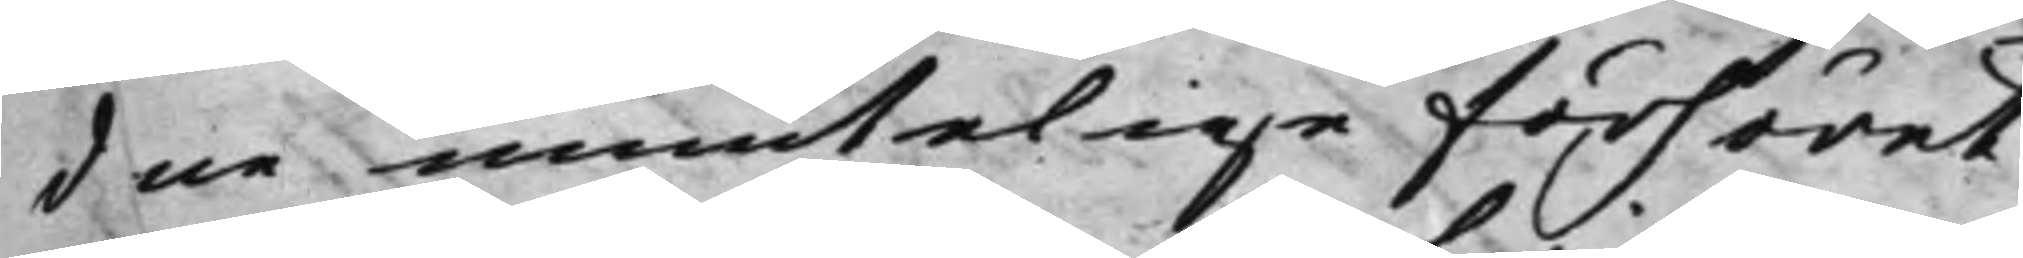dne muntelige förhöret
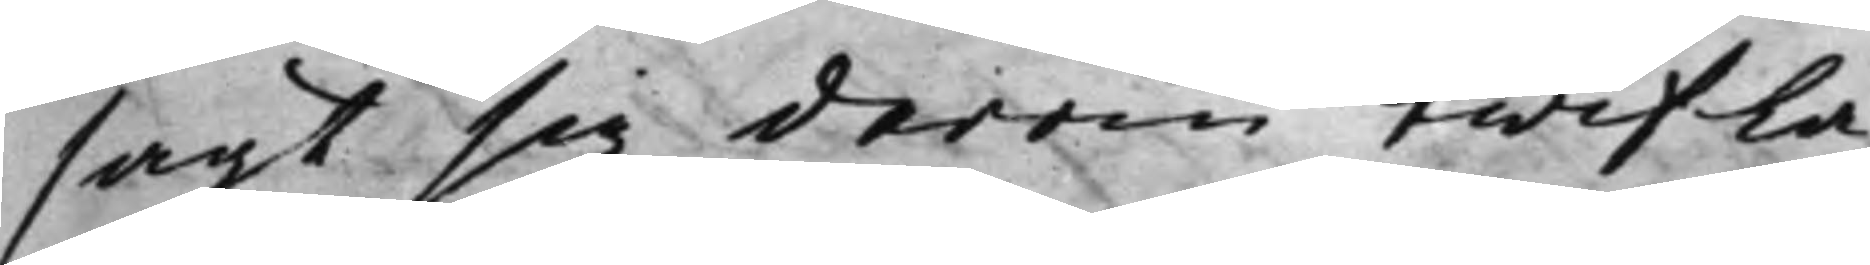sagt sig derom twifla,
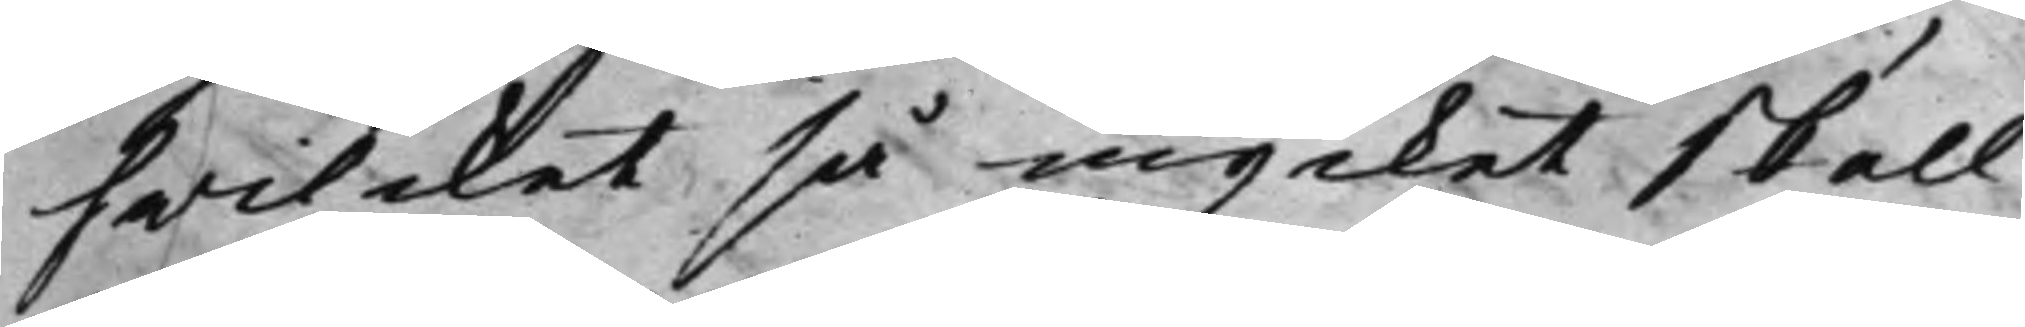hwilcket så mycket skall
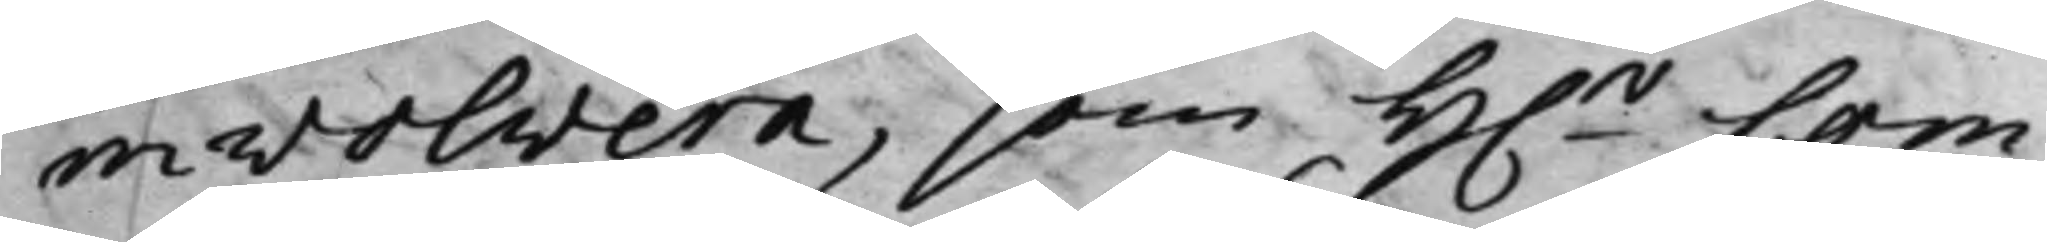involvera, som H.r Com¬
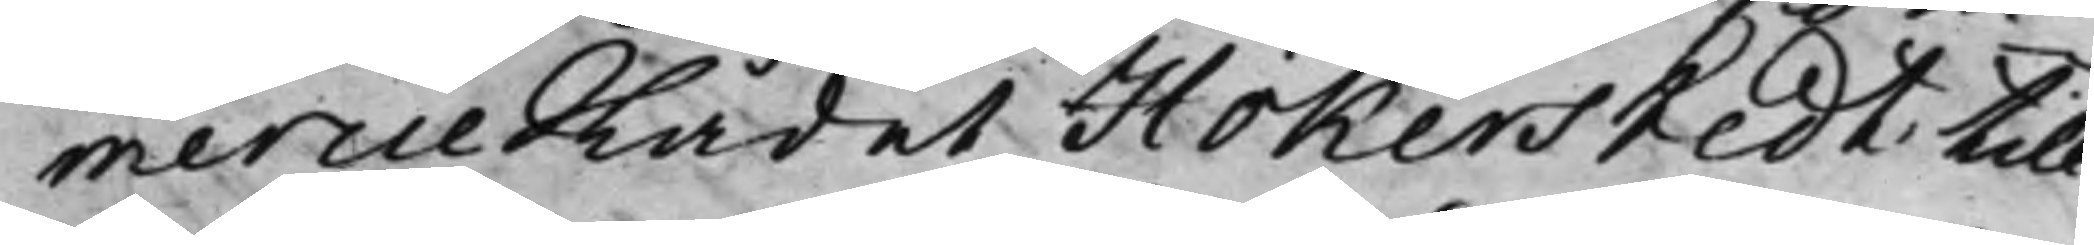mercieRådet Hökerstedt till
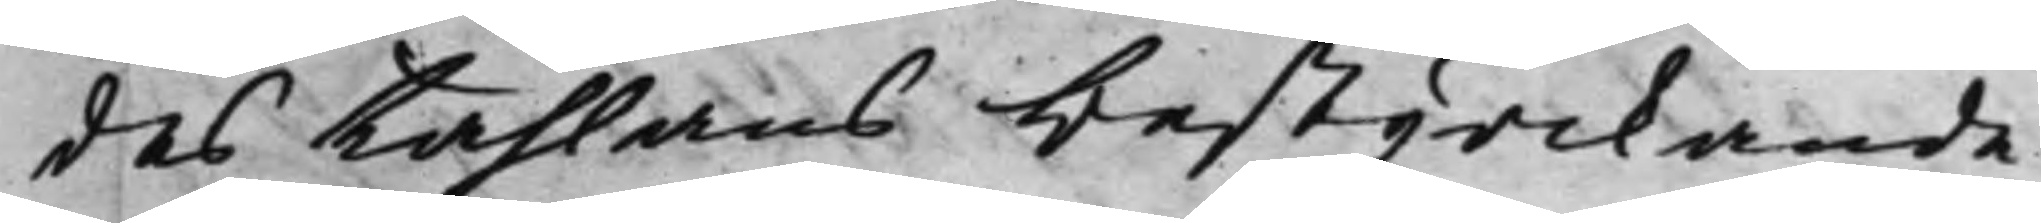des tahlans bestyrckande
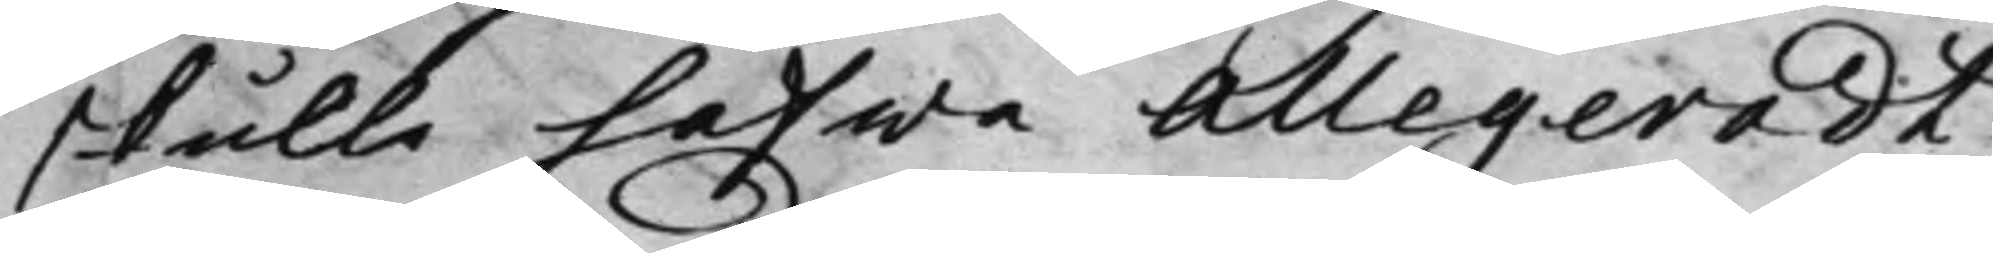skulle hafwa allegeradt
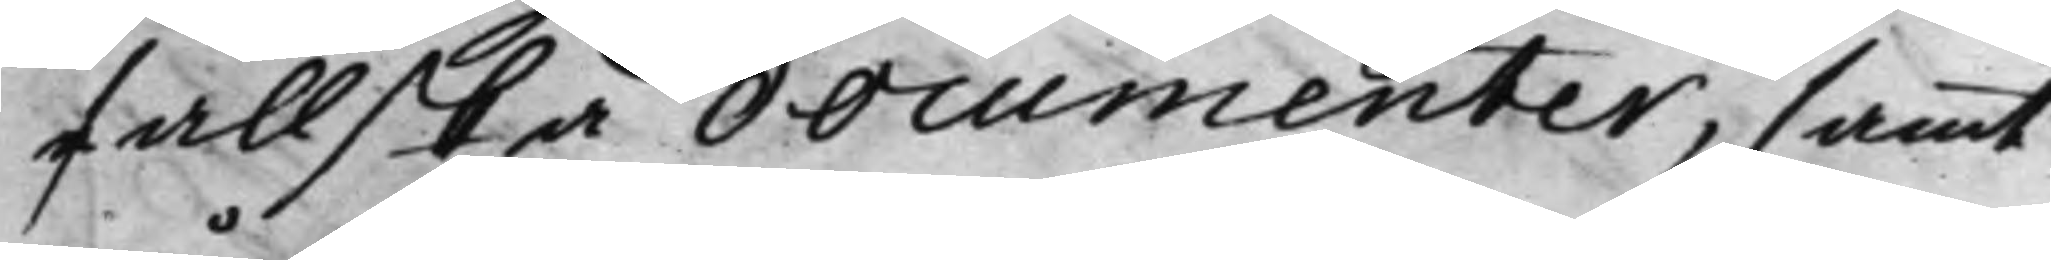fallska documenter, samt
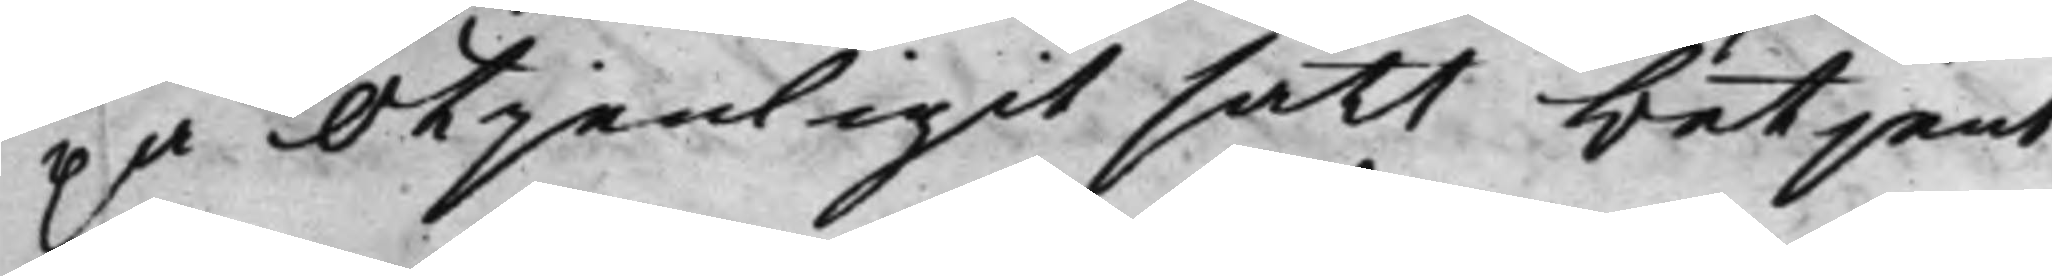på otjenligit sätt betjent
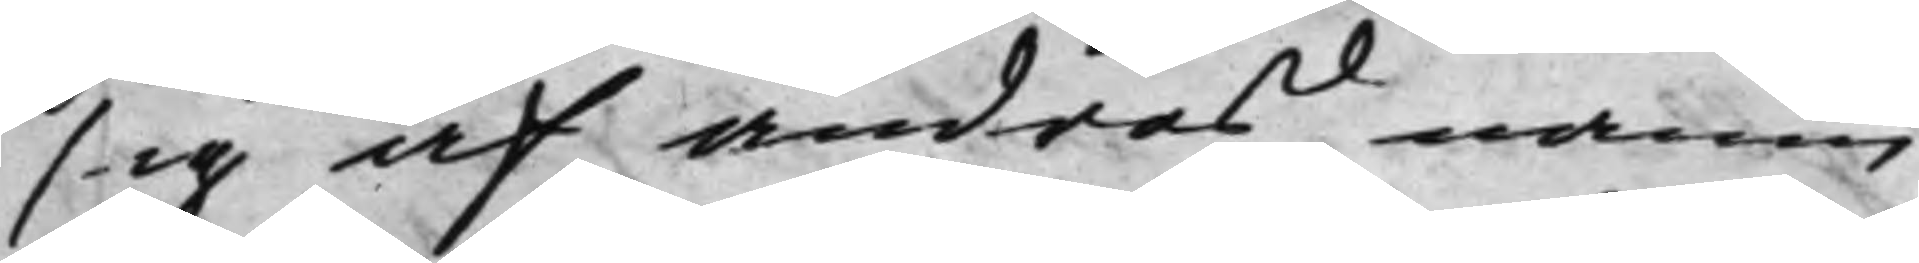sig af andras namn,
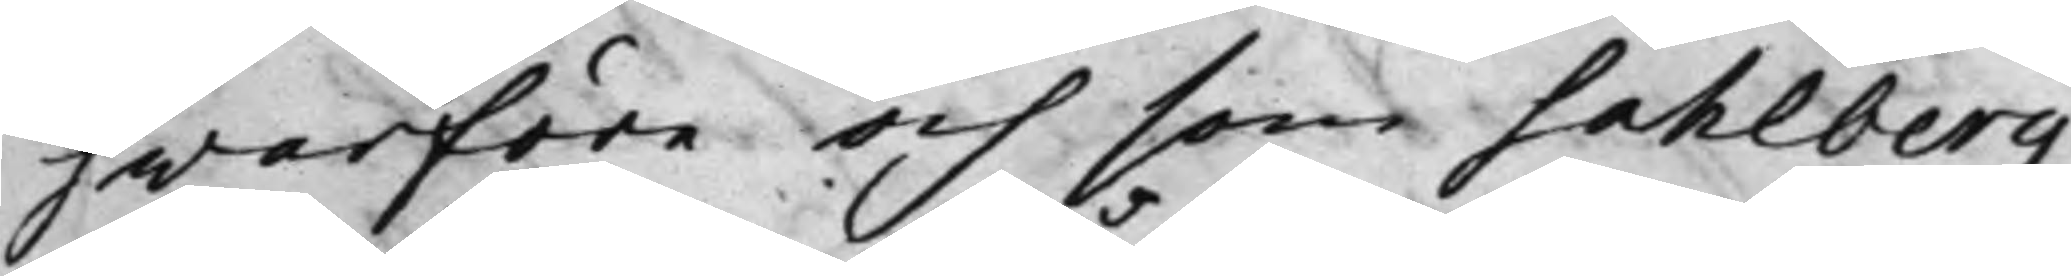hwarföre och som Sahlberg
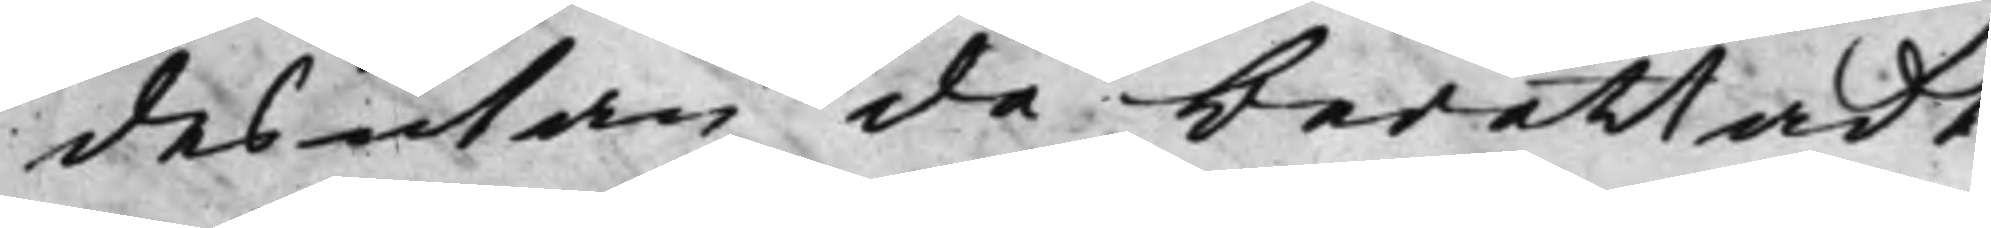desutan då berättadt,
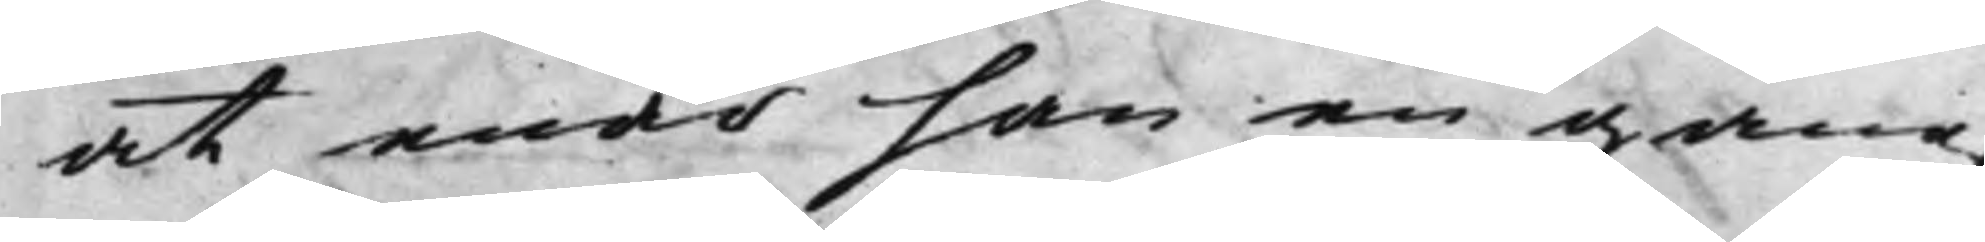at enär han en gång
